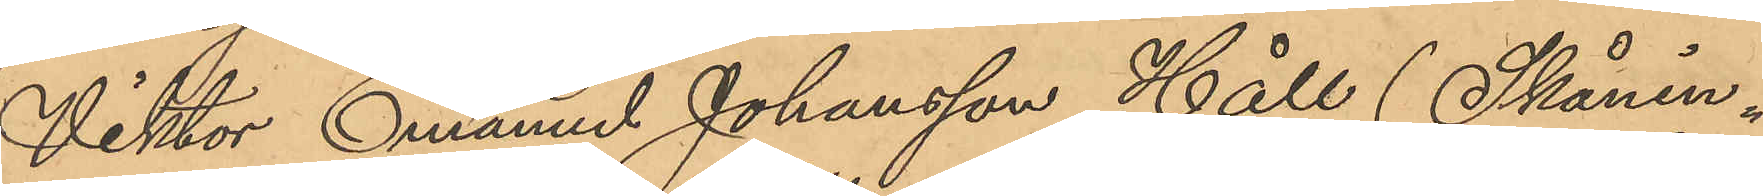Viktor Emanuel Johansson Håll (Skånin¬
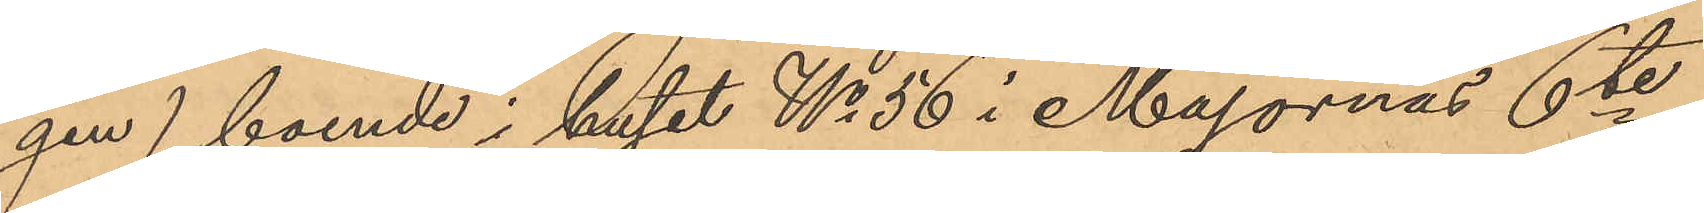gen) boende i huset No 56 i Majornas 6te
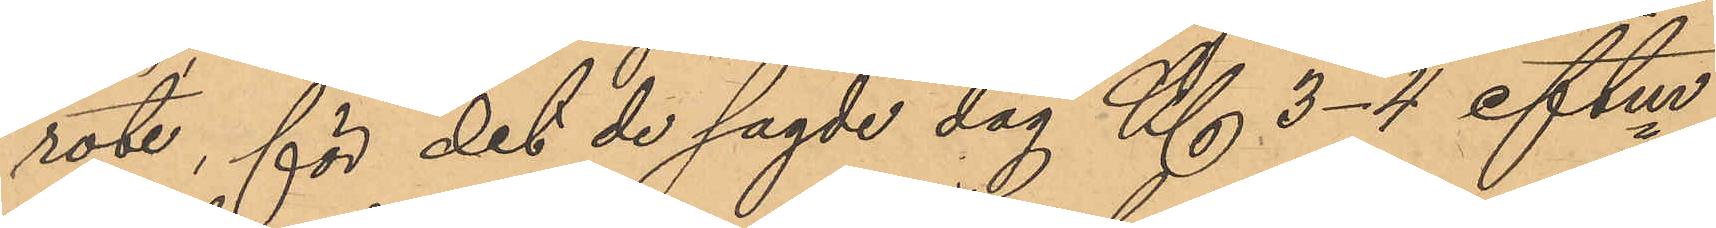rote, för det de sagde dag Kl. 3-4 eftm
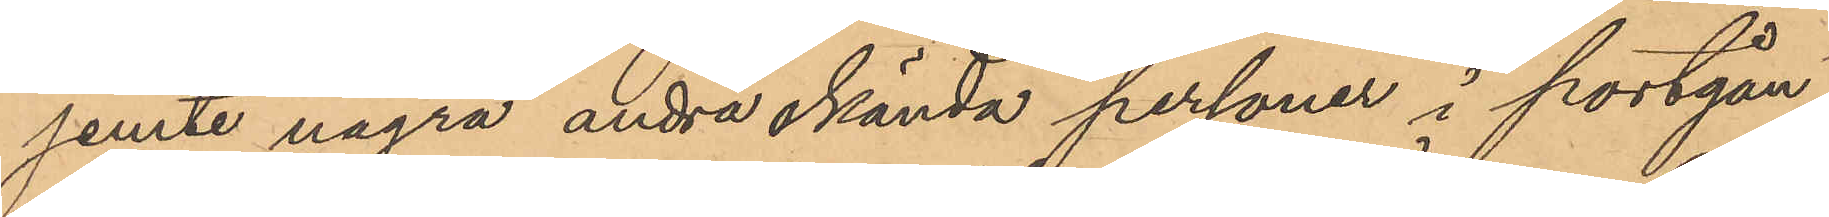jemte några andra okända personer i portgån¬
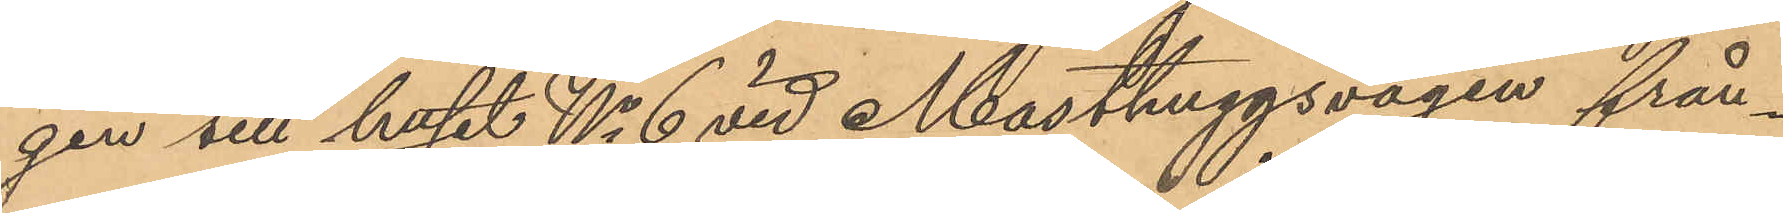gen till huset No 6 vid Masthuggsvägen från¬
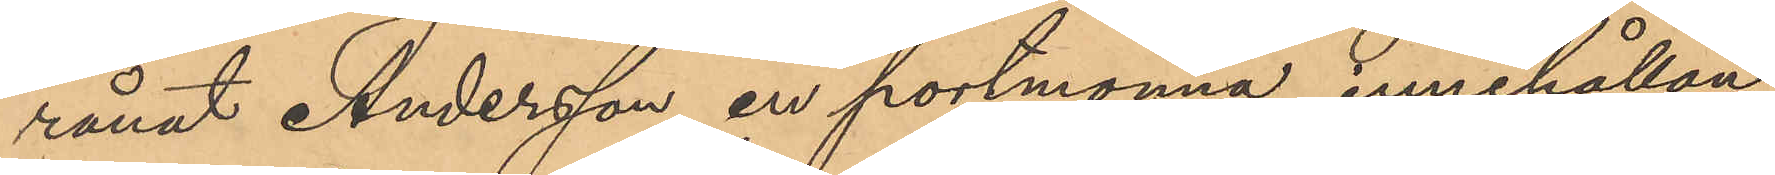rånat Andersson en portmonnä, innehållan¬
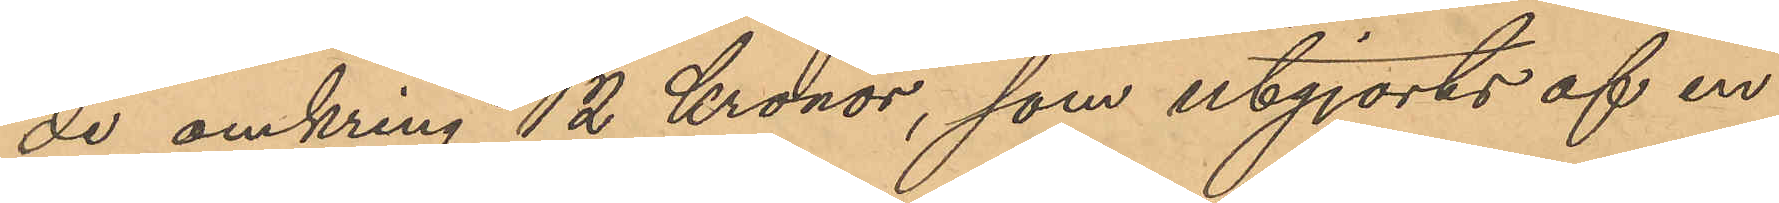de omkring 12 Kronor, som utgjorts af en
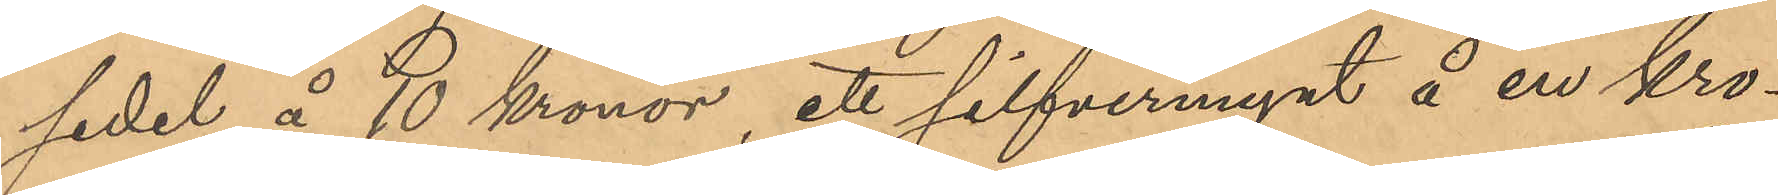sedel å 10 kronor, ett silfvermynt å en kro¬
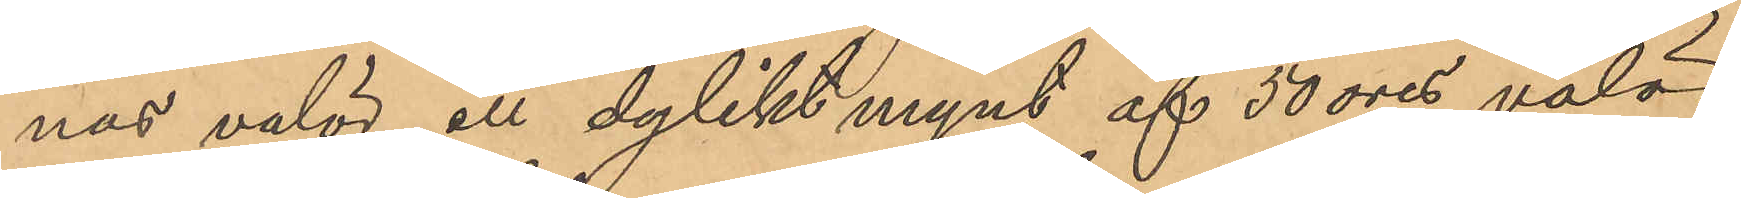nas valör, all dylikt mynt af 50 öres valör.
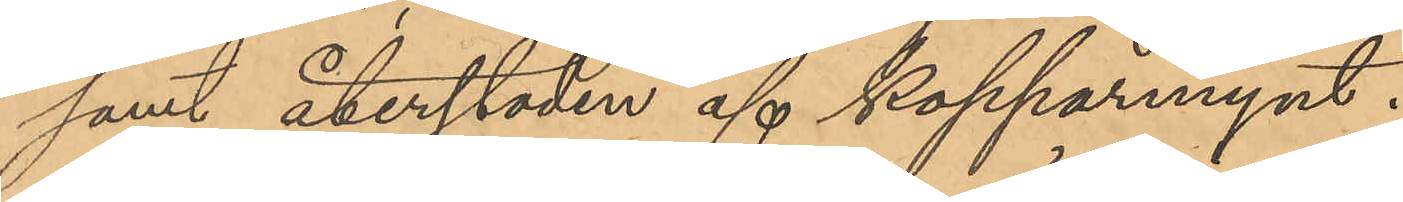samt återstoden af kopparmynt.
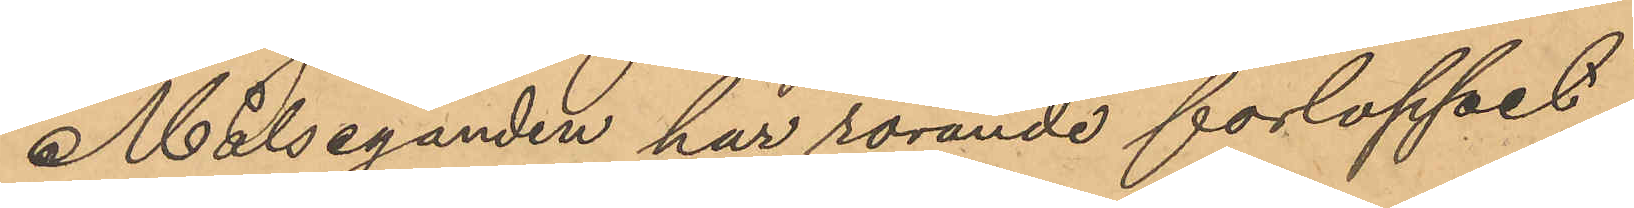Målseganden har rörande forloppet
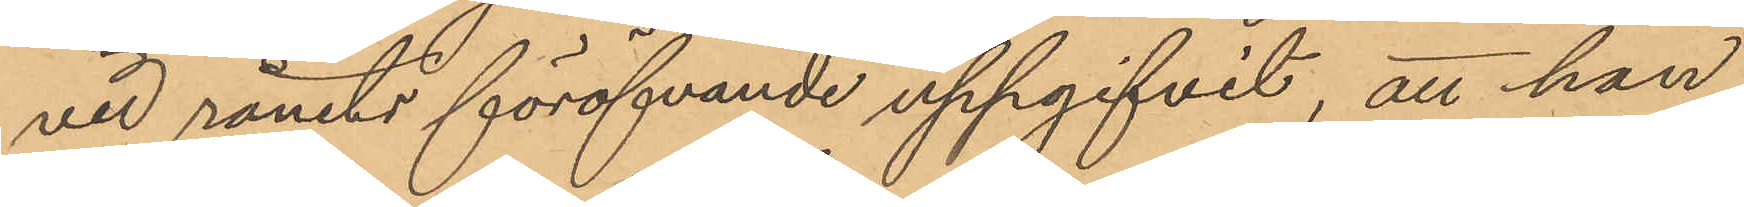vid rånets föröfvande uppgifvit, att han
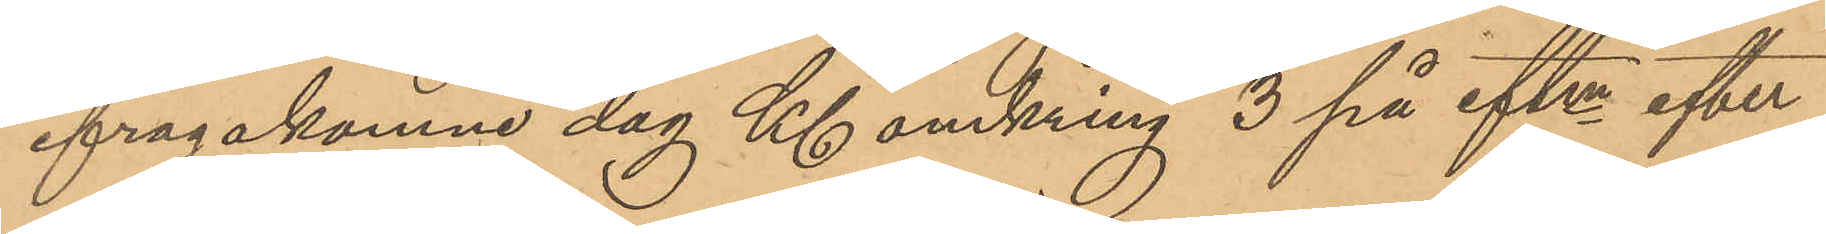ifrågakomne dag Kl. omkring 3 på eftm efter
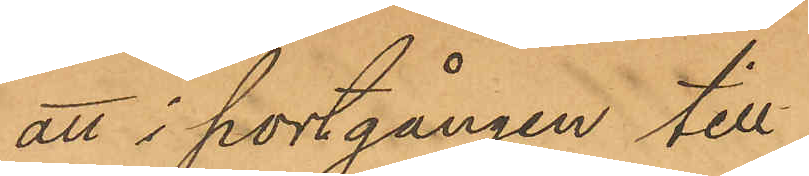att i portgången till
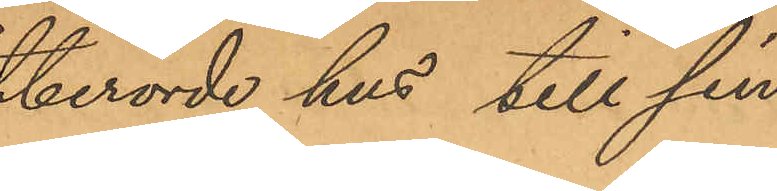berörde hus till sin
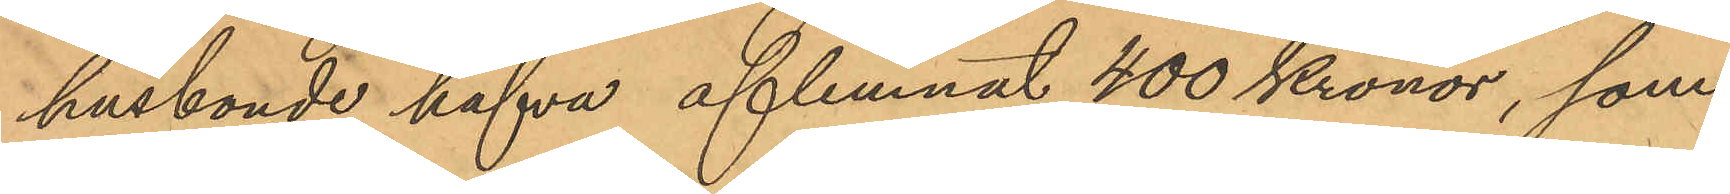husbonde hafva aflemnat 400 Kronor, som
